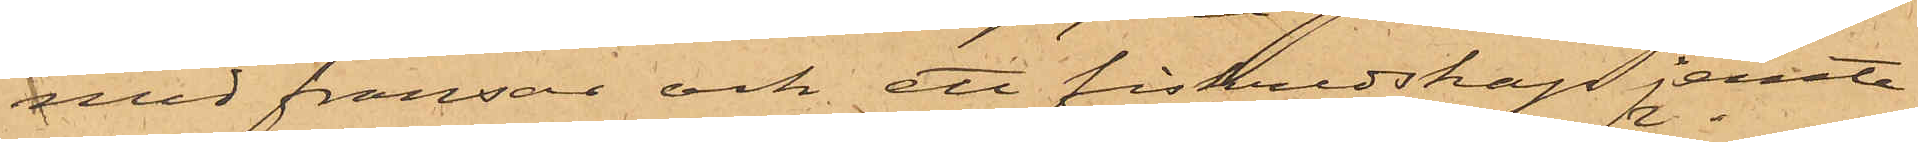med fransar och ett fiskredskap jemte
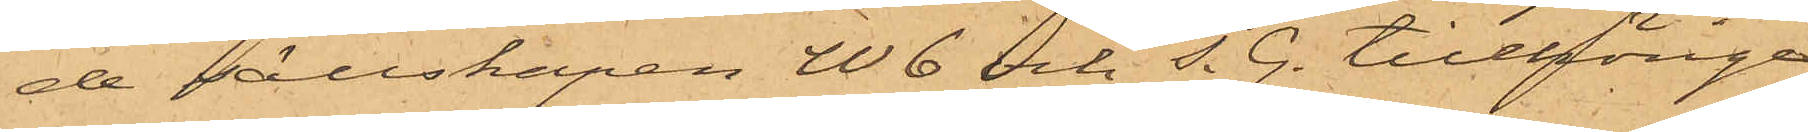de sällskapen W 6 och J. G. tillhörige
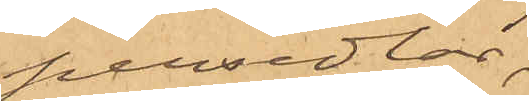persedlar;
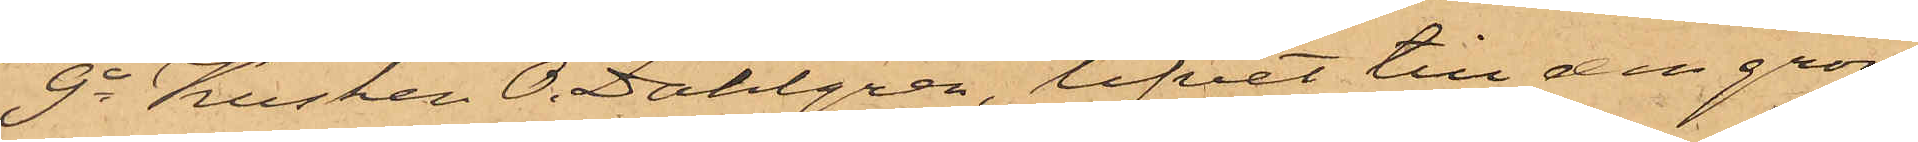9o Kusken O. Dahlgren, lifvet till den grön¬
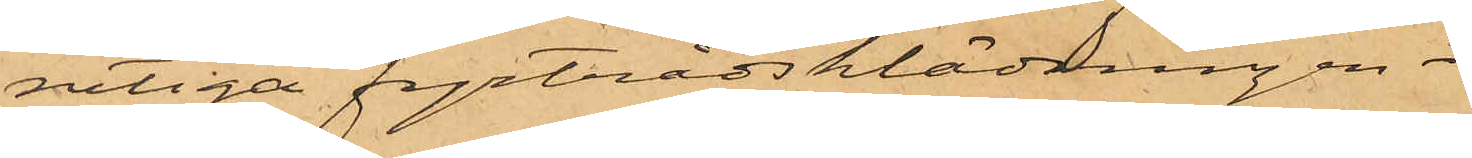rutiga fyrtrådsklädningen.
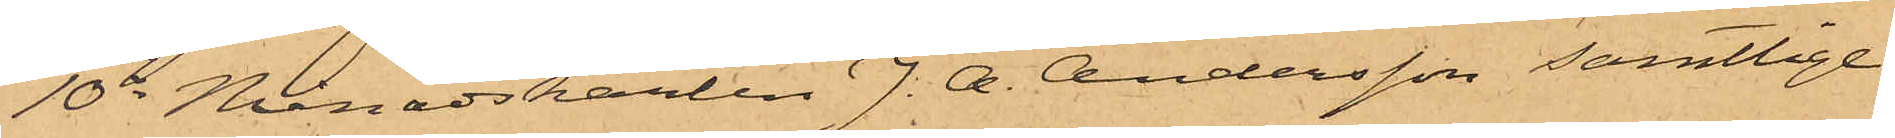10o Månadskarlen J. A. Andersson samtlige
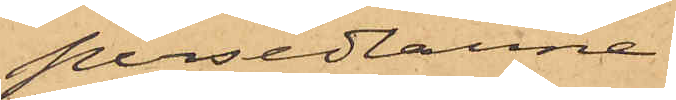persedlarne
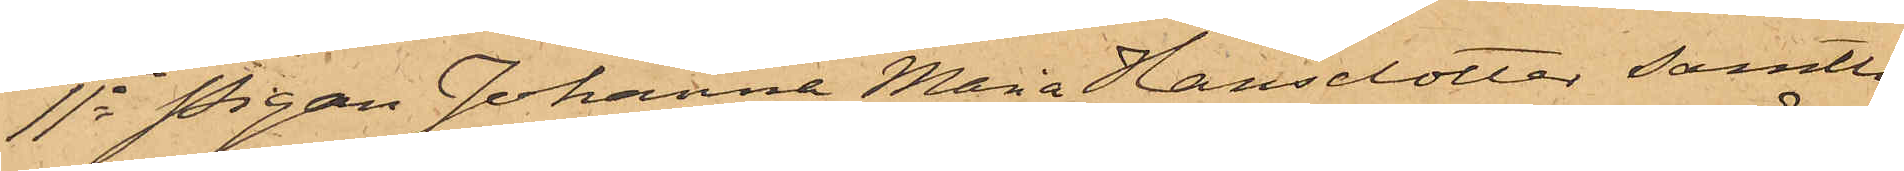11o Pigan Johanna Maria Hansdotter samtli¬
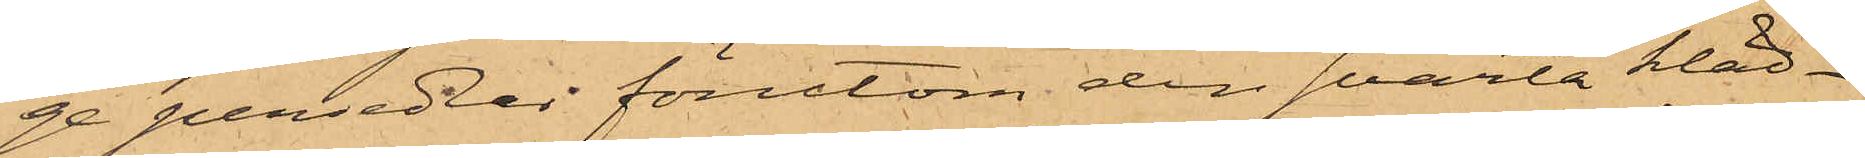ge persedlar förutom den svarta kläd¬
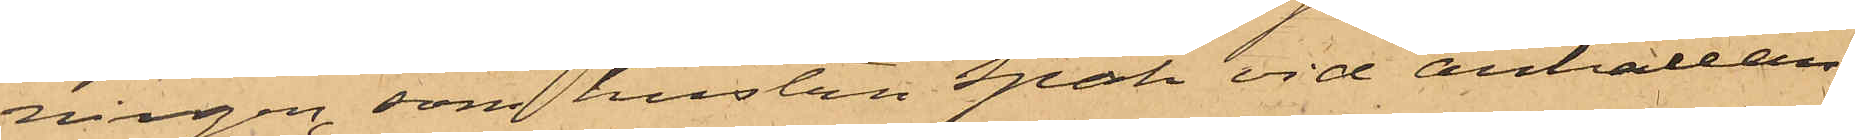ningen, som hustru Spak vid anhållan¬
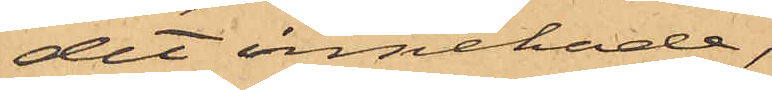det innehade,
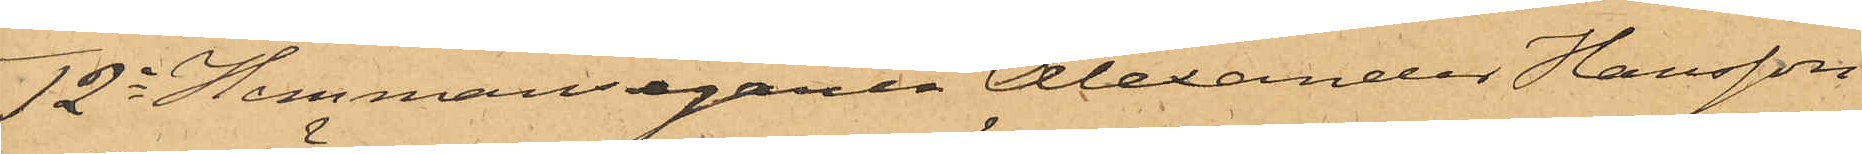12o Hemmansegaren Alexander Hansson
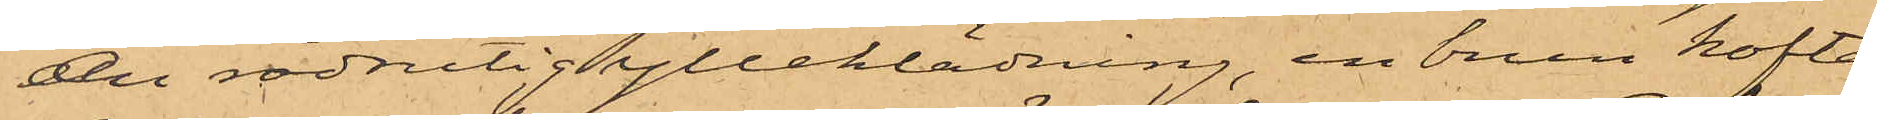en rödrutig ylleklädning, en brun kofta,
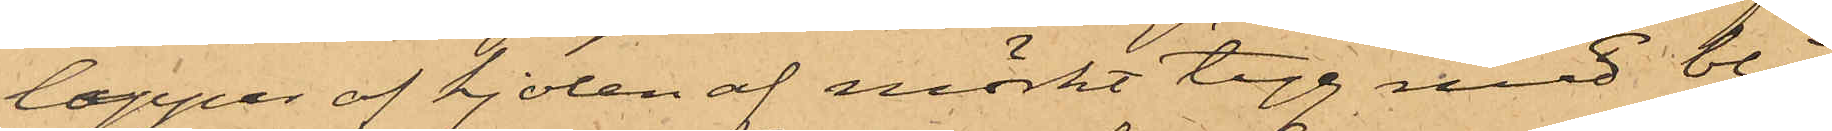lappar af kjolen af mörkt tyg med blå
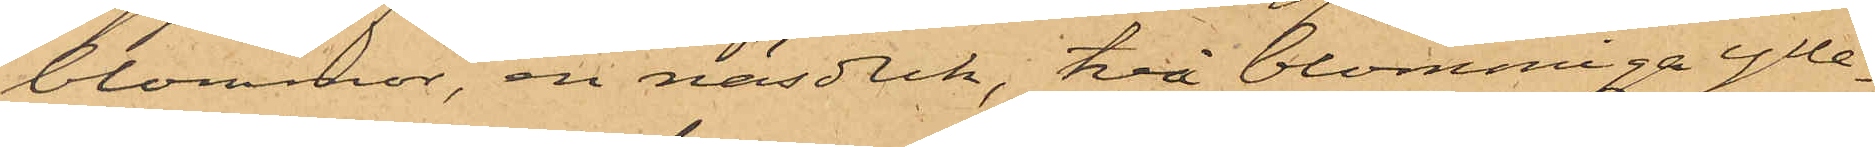blommor, en näsduk, två blommiga ylle¬
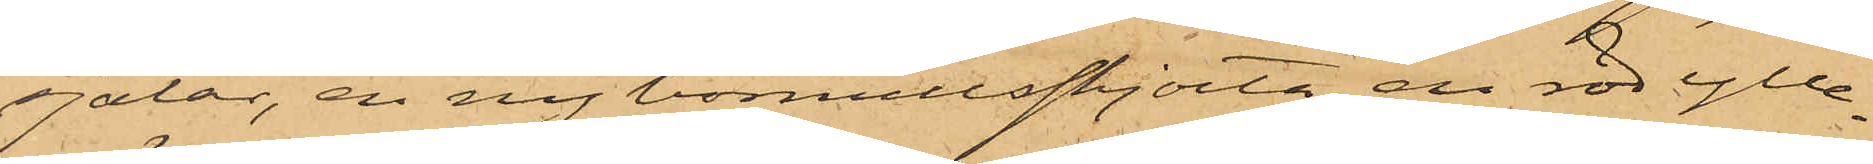sjalar, en ny bomullsskjorta, en röd ylle¬
